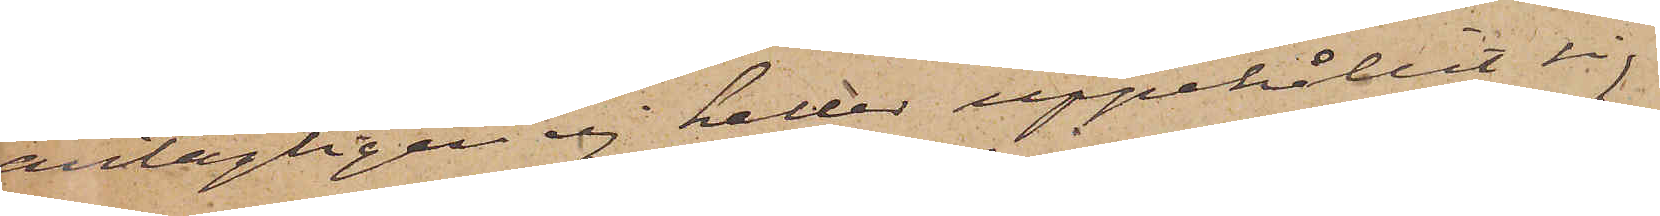antagligen ej heller uppehållit sig
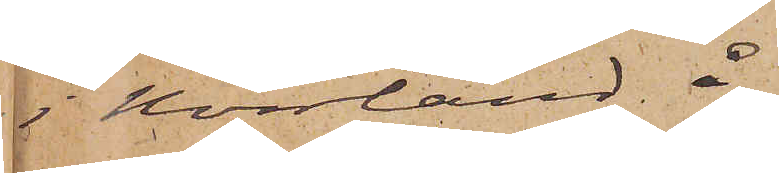i Norrland å
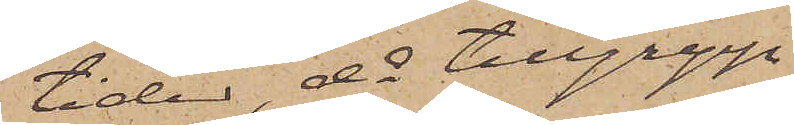tider då tillgrepp
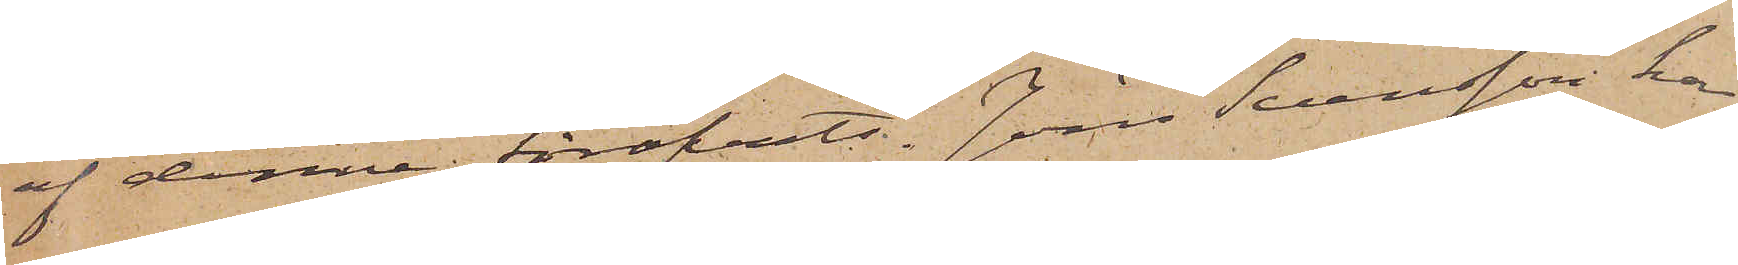af denne föröfvats. Jöns Svensson har
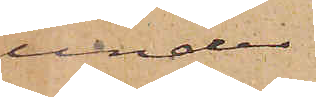under
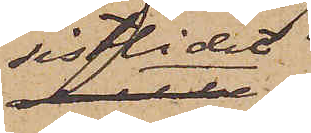sistlidet
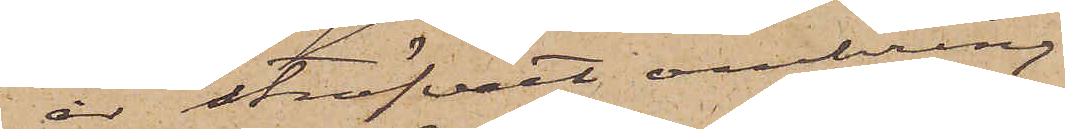år ströfvat omkring
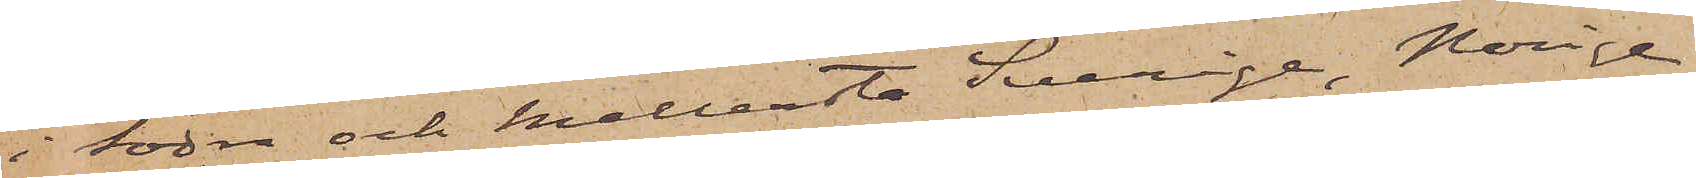i Södra och Mellersta Sverige, Norige
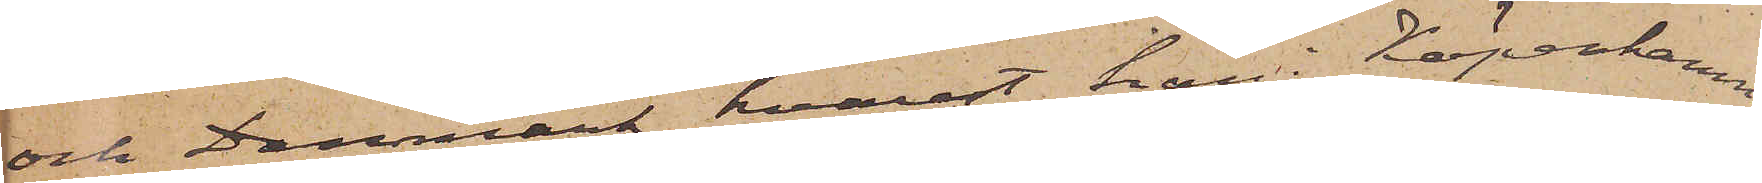och Danmark, hvarest han i Köpenhamn
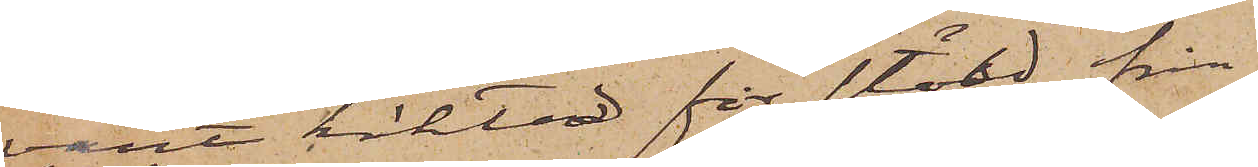varit häktad för stöld från
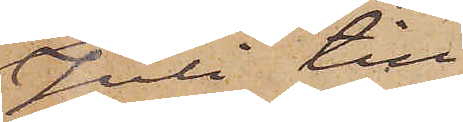Juli till
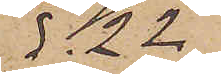d. 22
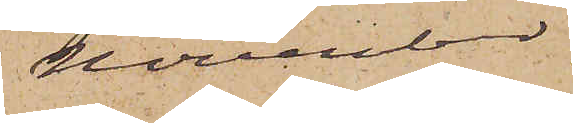November
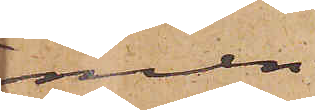men
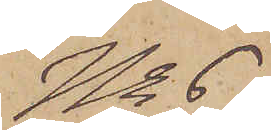No 6.
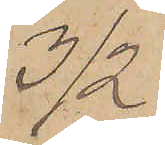3/2
